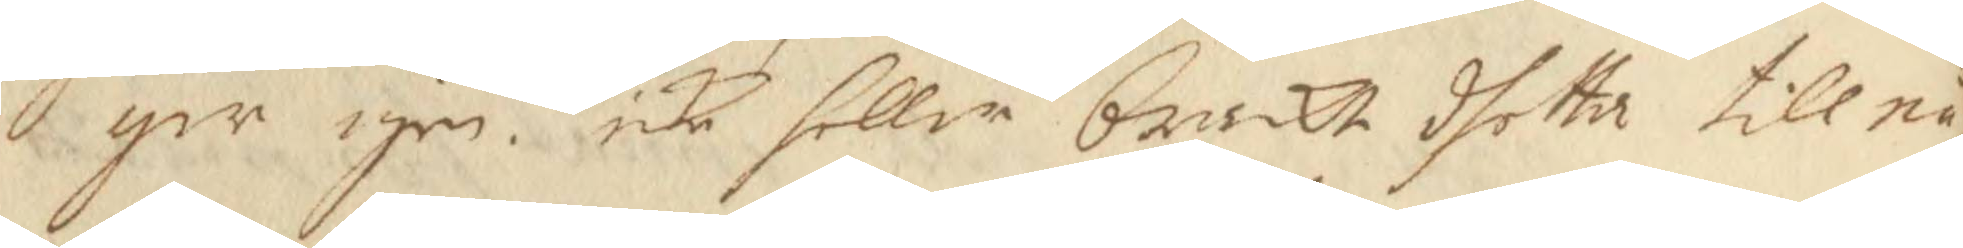ger igen. icke heller brakt dhetta till nå¬
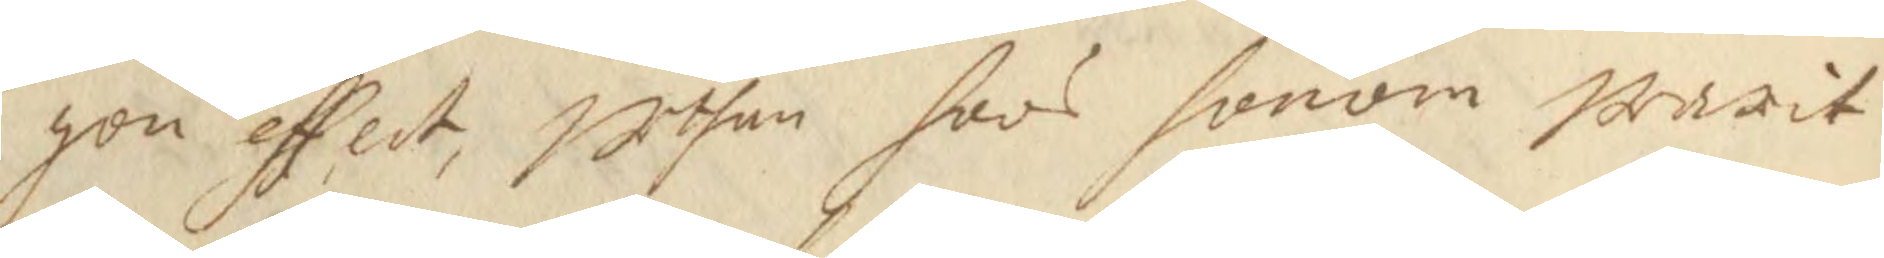gon effect, uthan hoos honom warit
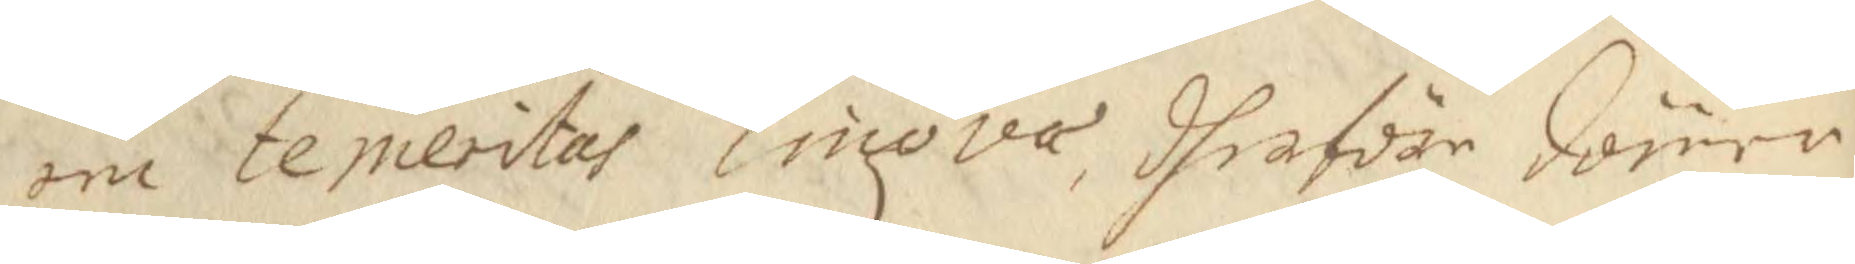om temeritas lingova, dherföre dömer
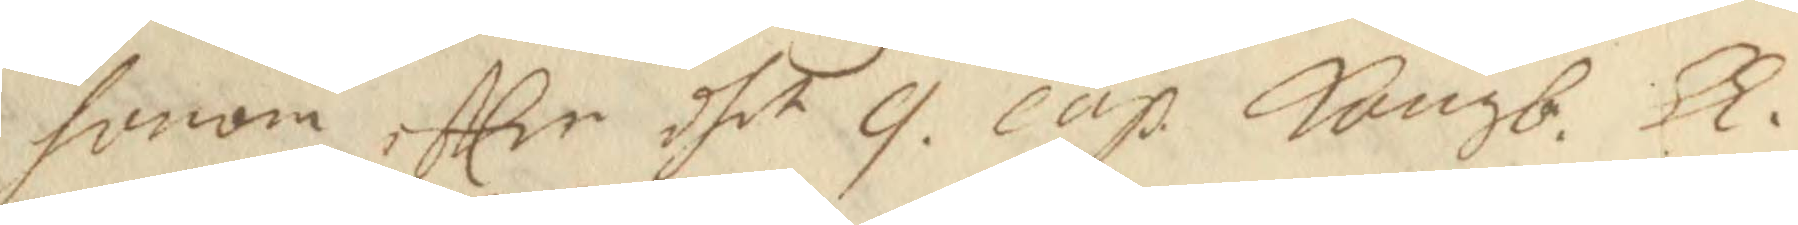honom effter dhet 9 cap Kongb. Ll. 
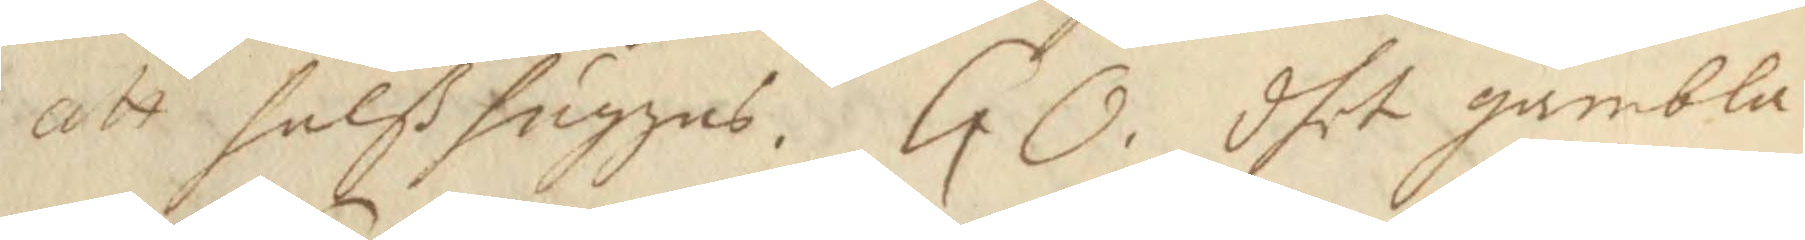att halßhuggas. GO. dhet gambla 
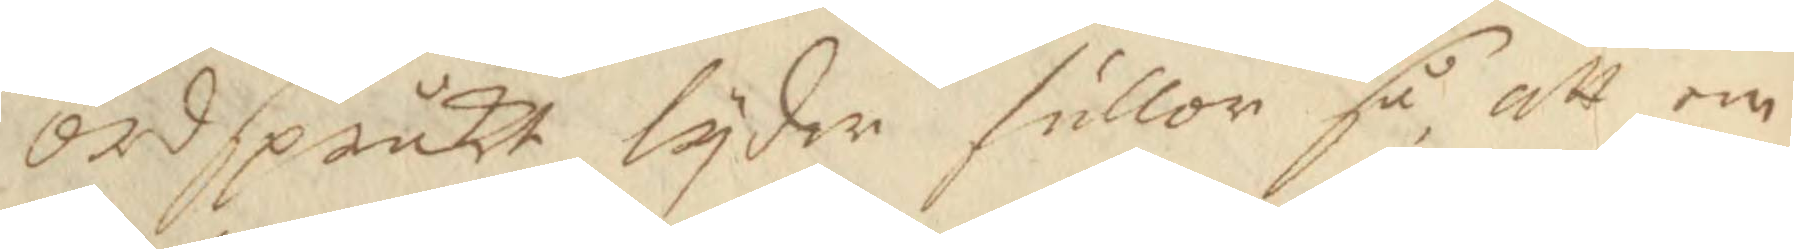ordspråkt tyder fullor så att en
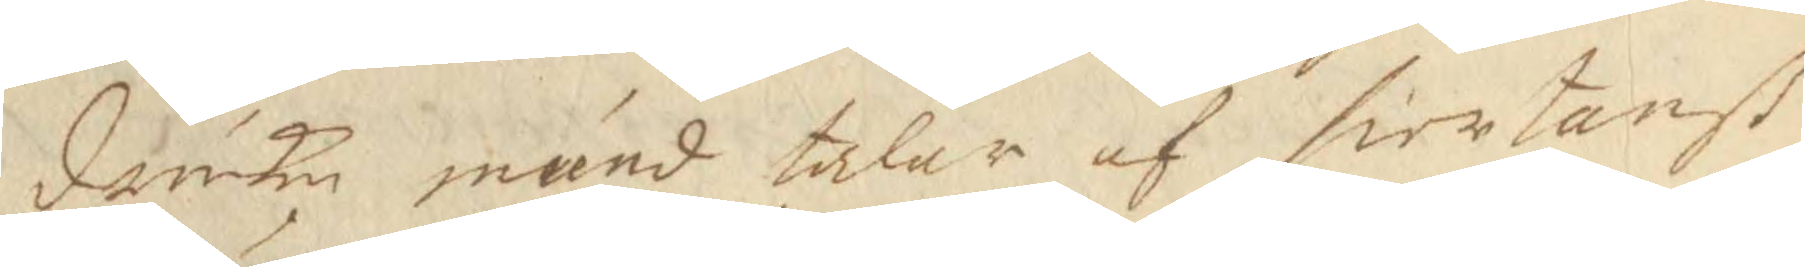druken mund talar af hiertanß
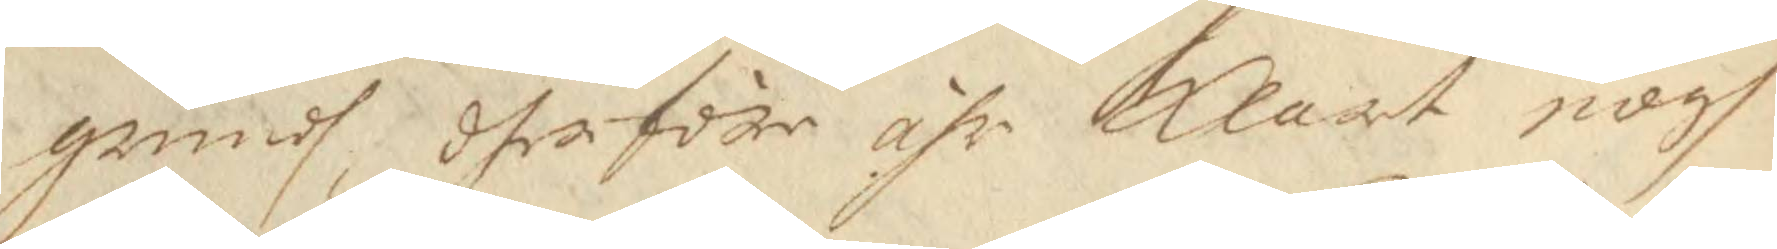grundh, dher före ähr Klart nogh
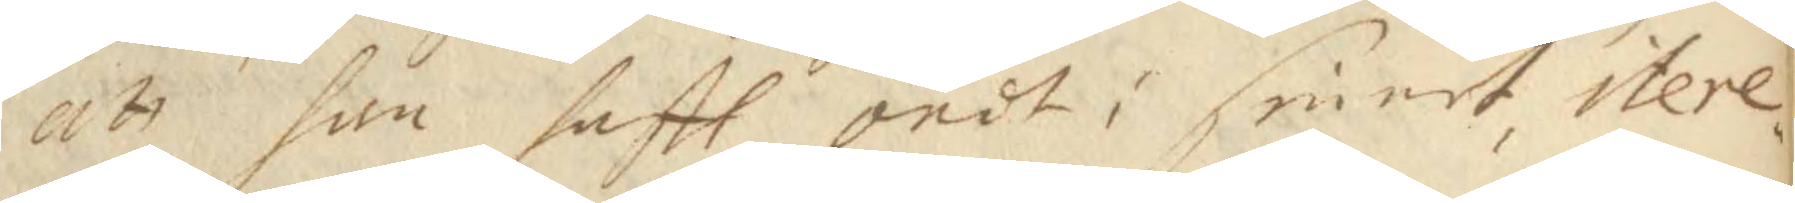att han haftt ondt i sinnet itere¬
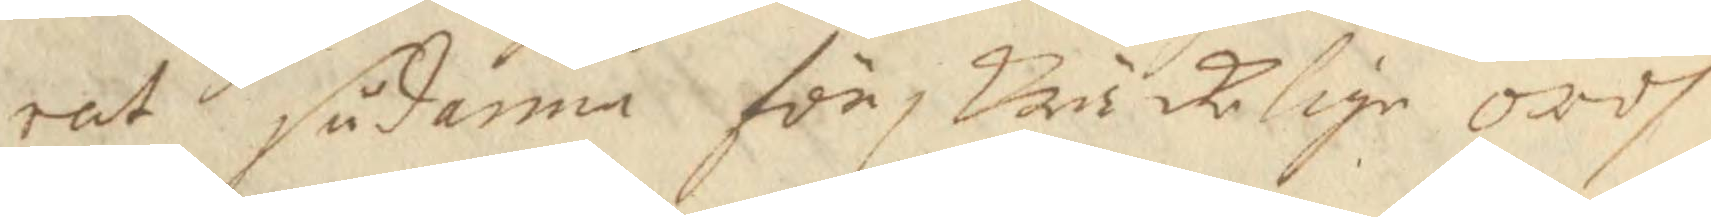rat sådanna förskräckelige ordh
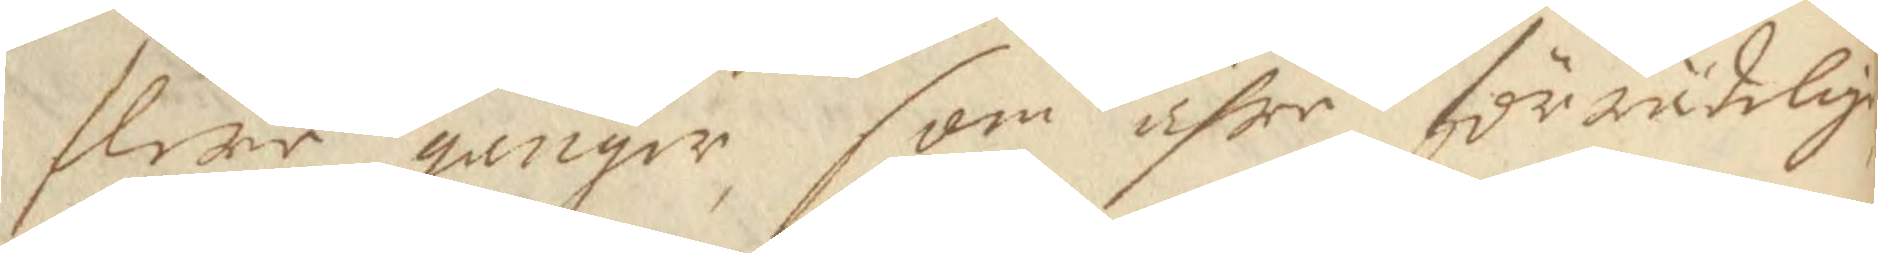flere gånger som ähre förrädelige
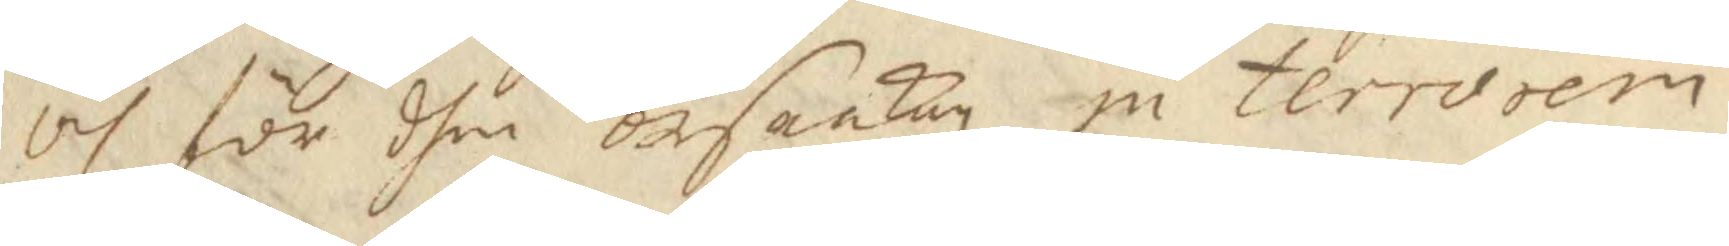och för dhen orsaakan in terrosem
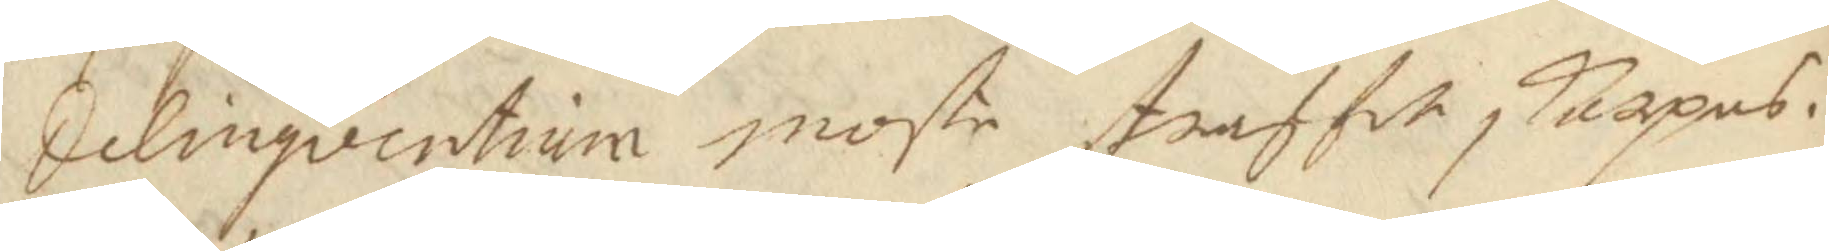delinqventium moste straffet skerpas.
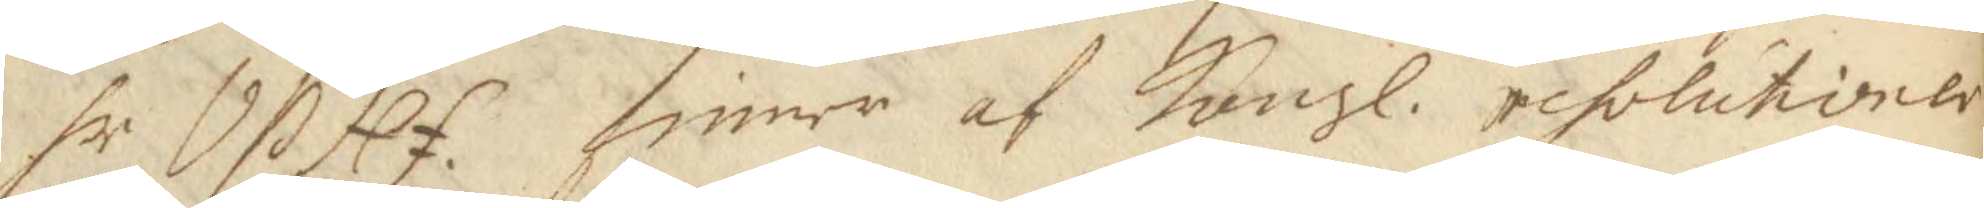hr VP Hf. finner af Kongl. resolutioner 
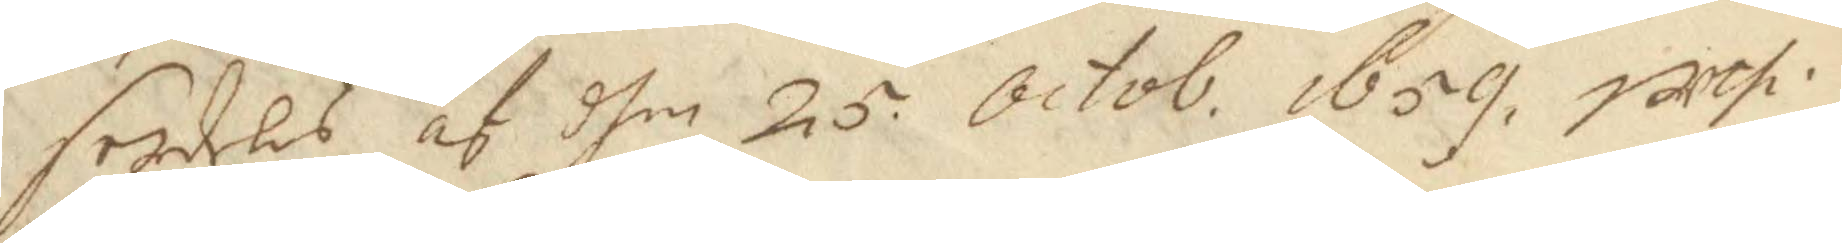serdeles, af dhen 25 Octob. 1659 uthi 
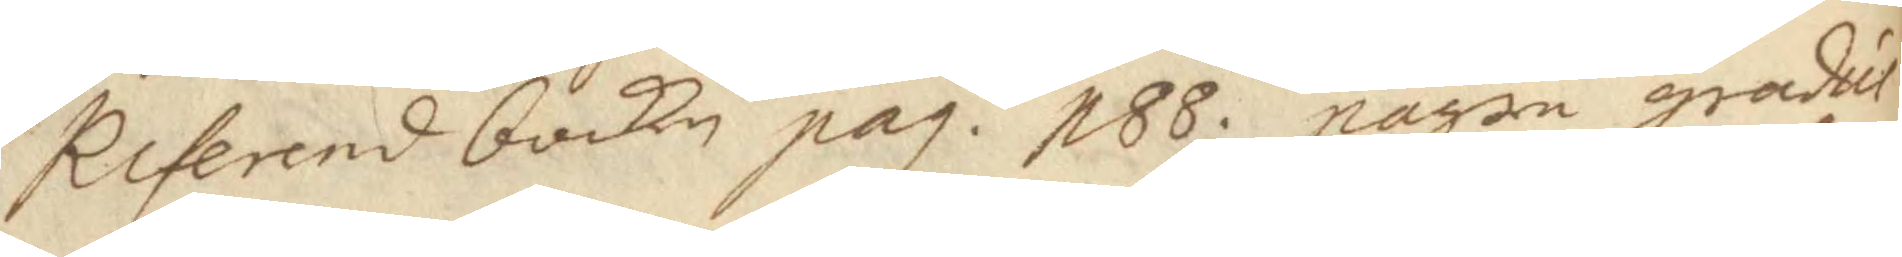Referendbocken pag. 188. någre gradus 
